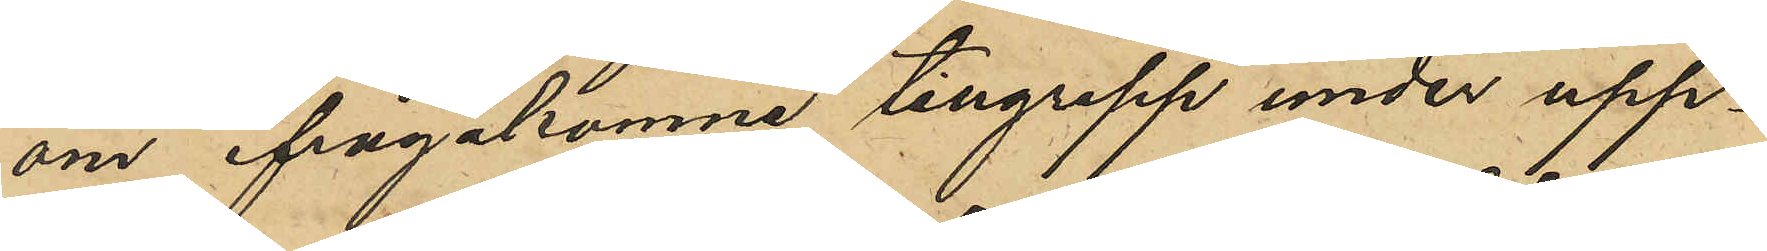om ifrågakomne tillgrepp under upp¬
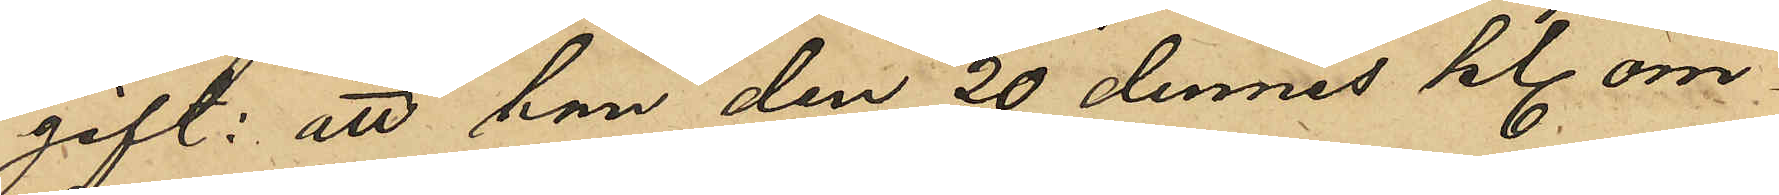gift: att han den 20 dennes kl. om¬
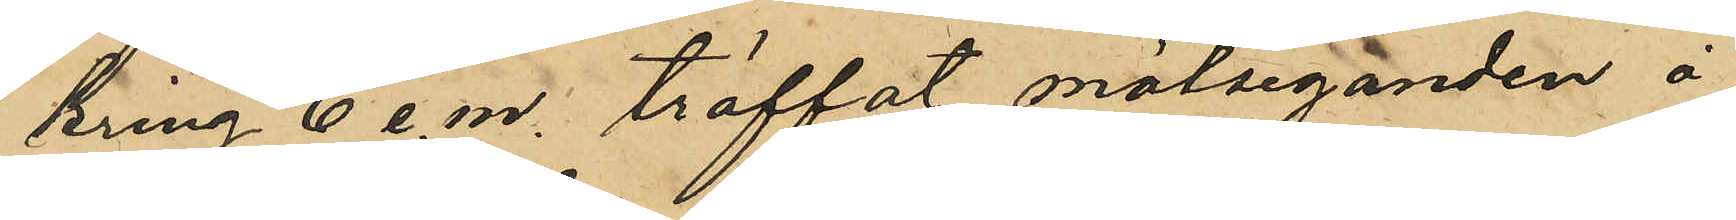kring 6 e.m. träffat målseganden å
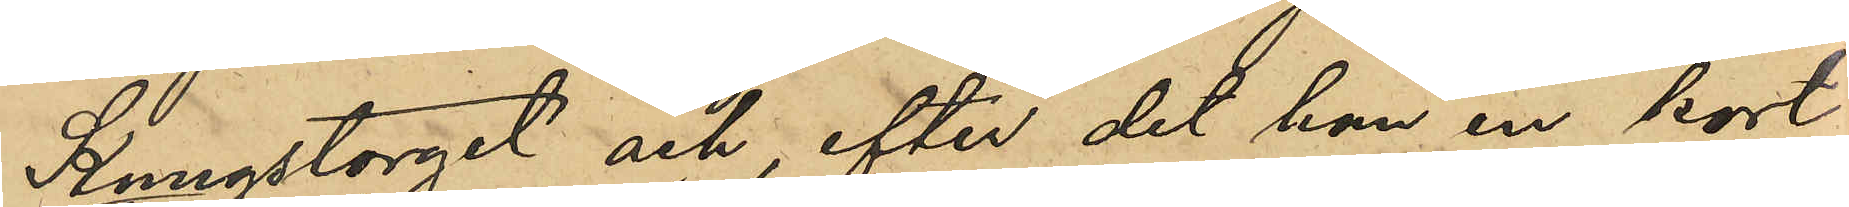Kungstorget och, efter det han en kort
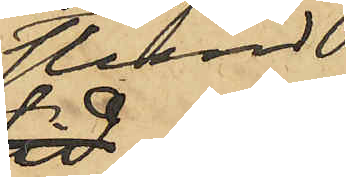stund
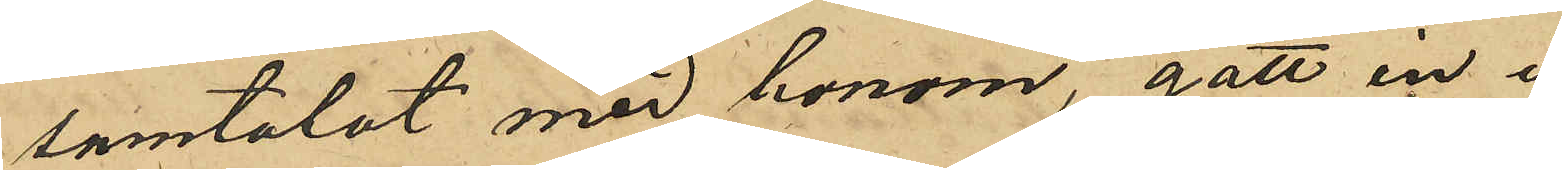samtalat med honom, gått in i
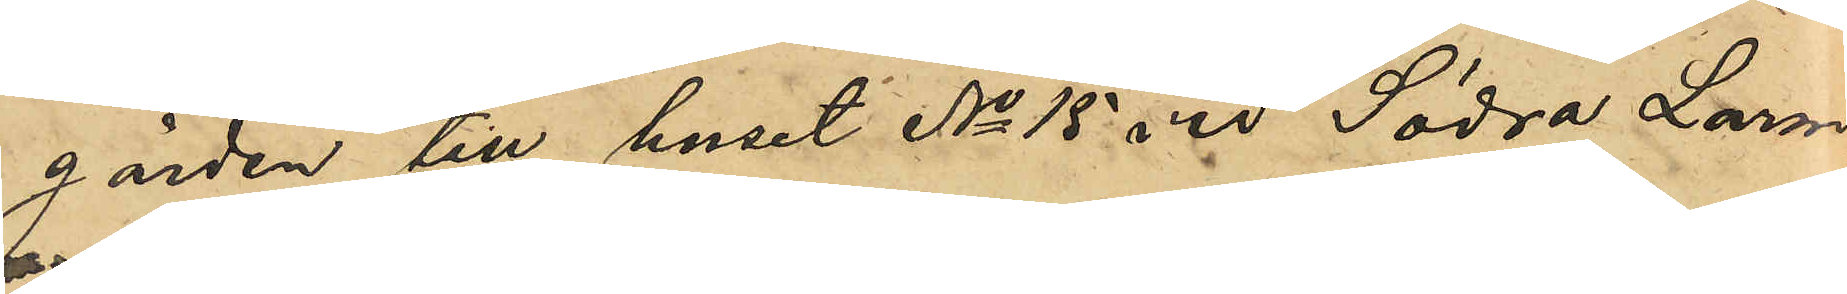gården till huset No 15 vid Södra Larm¬
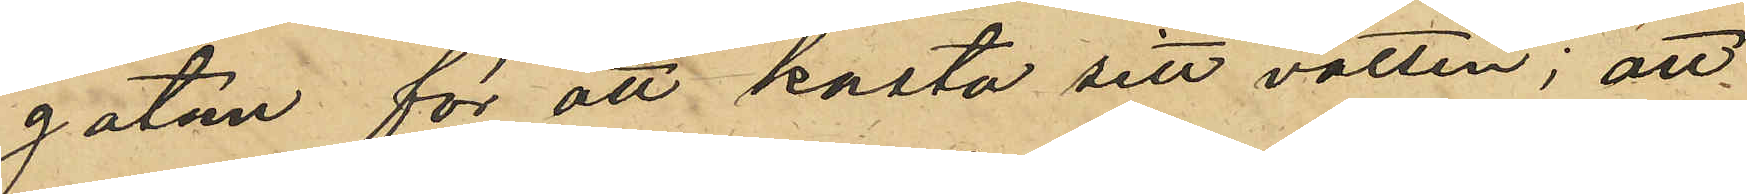gatan för att kasta sitt vatten; att
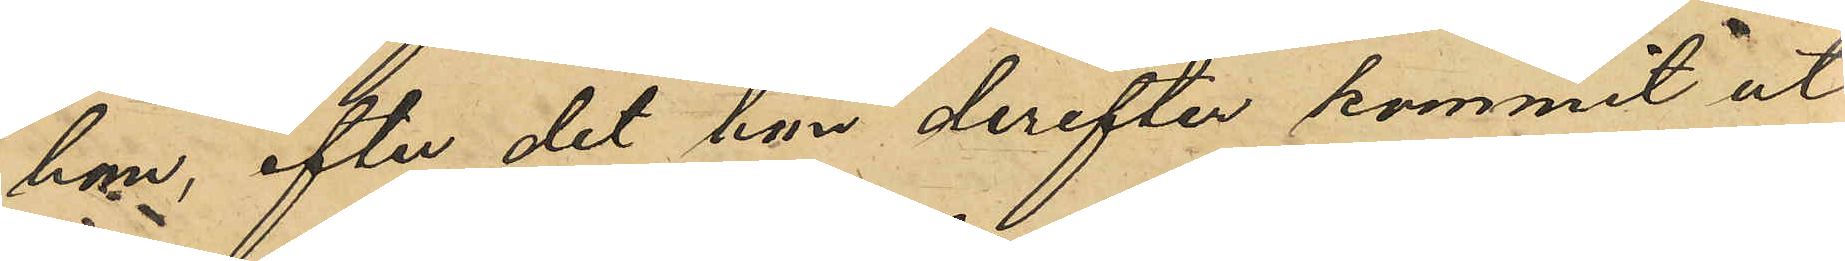han efter det han derefter kommit ut
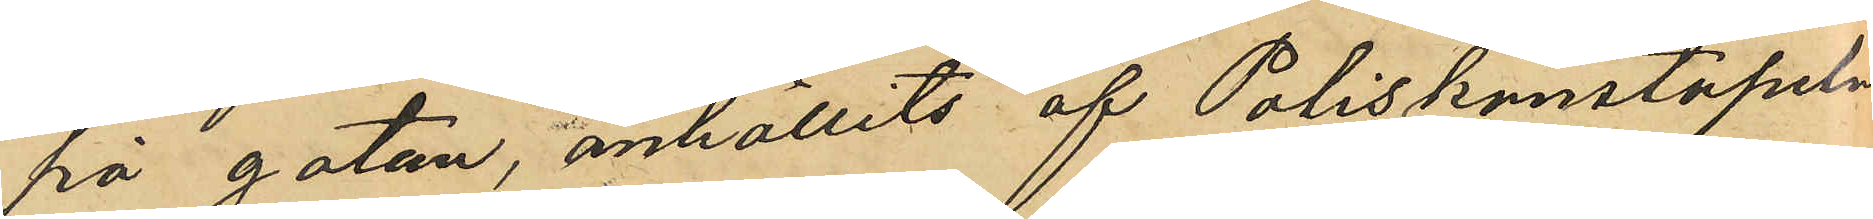på gatan, anhållits af Poliskonstapeln
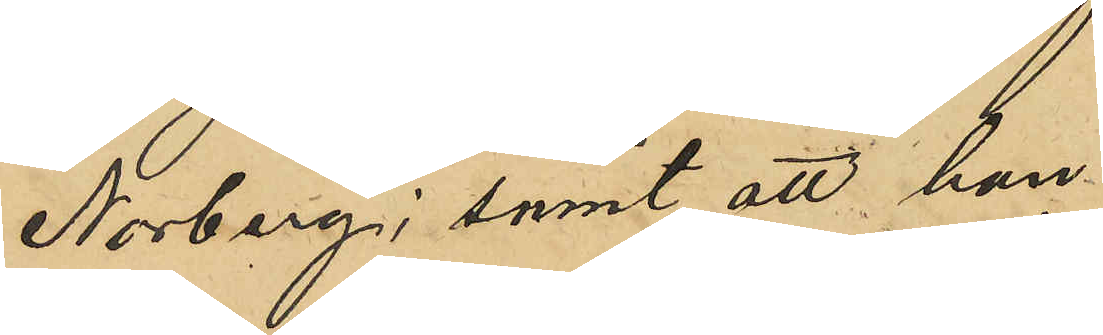Norberg samt att han
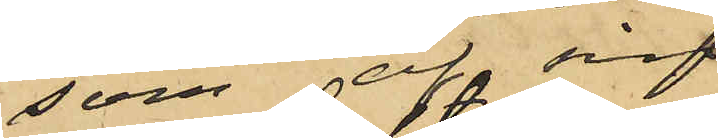som af sin
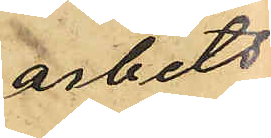arbets¬
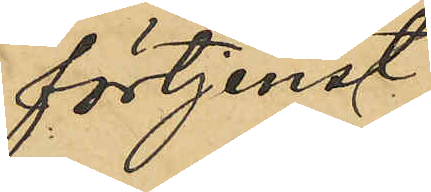förtjenst
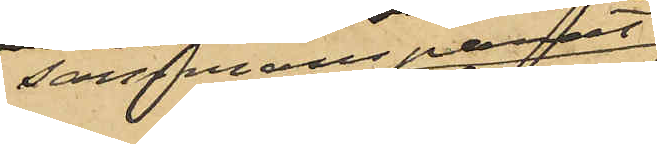 sammansparat
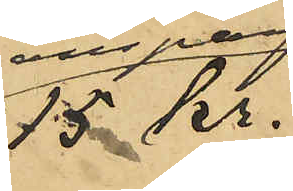15 kr.
